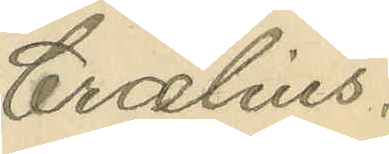Crælius.
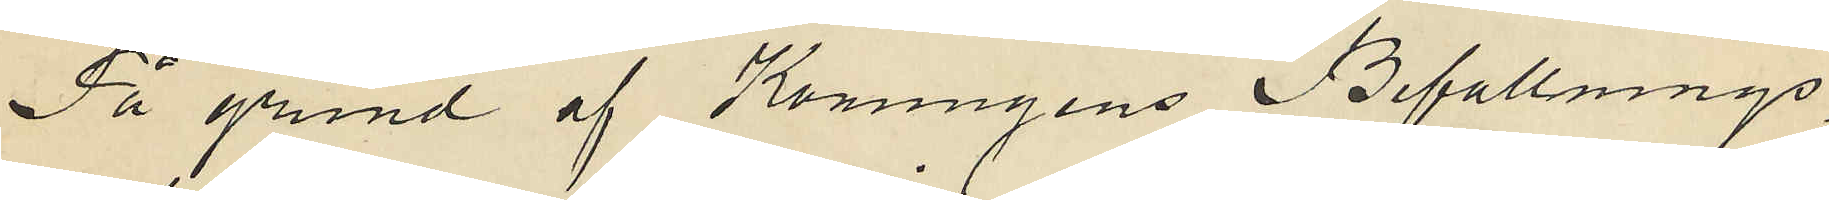På grund af Konungens Befallnings¬
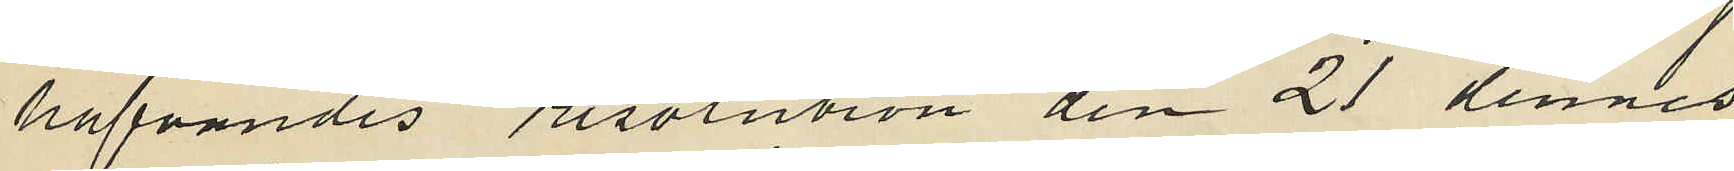hafvandes resolution den 21 dennes
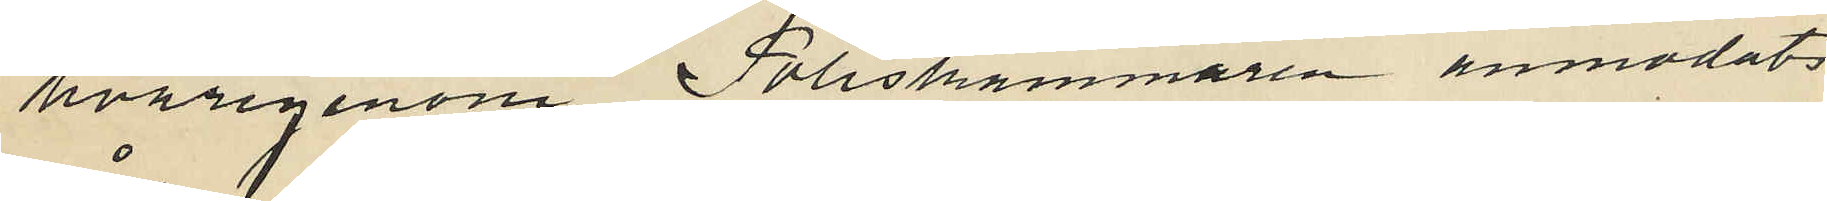hvarigenom Poliskammaren anmodats
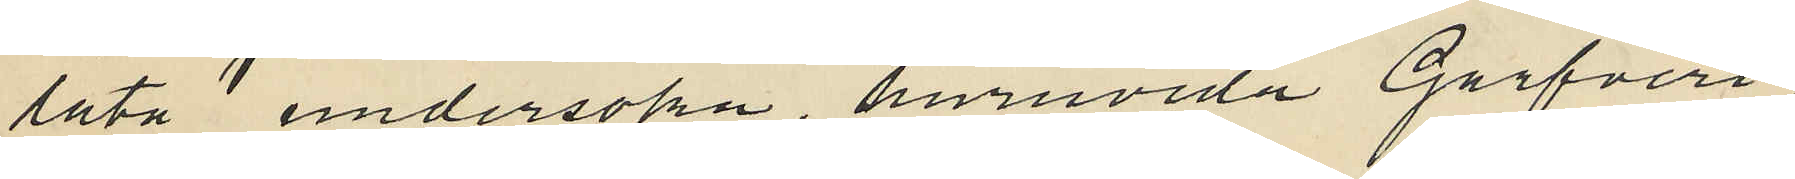låta undersöka, huruvida Garfveri¬
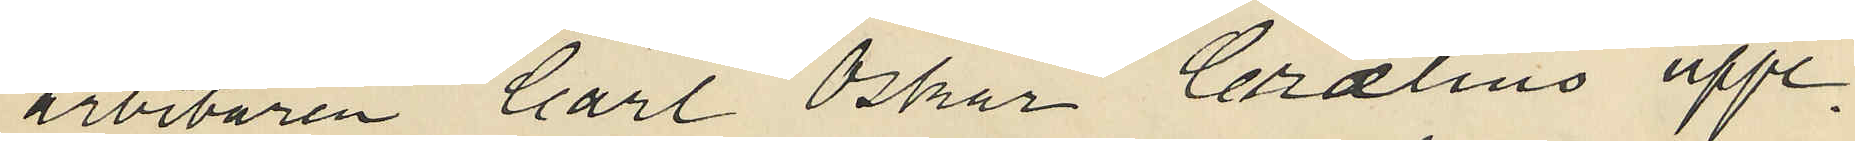arbetaren Carl Oskar Crælius uppe¬
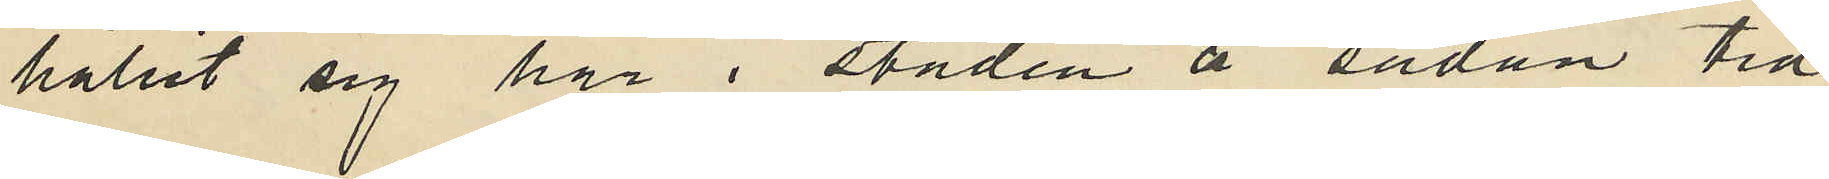hållit sig här i staden å sådan tid
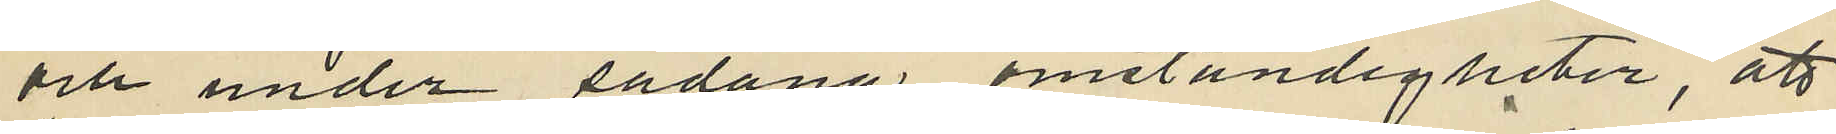och under sådana omständigheter, att
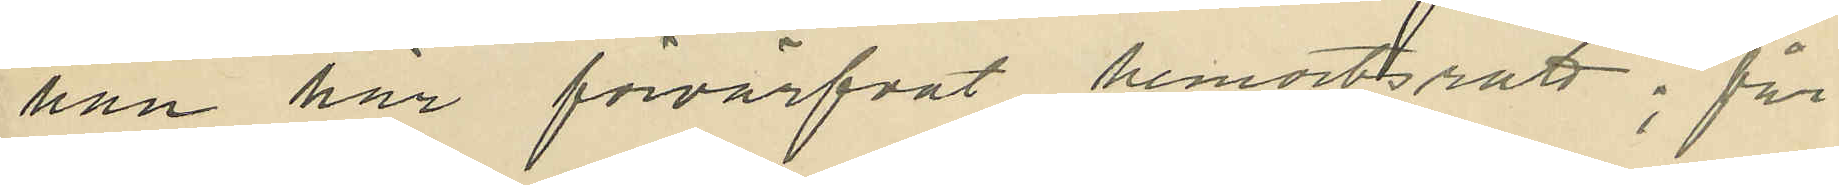han har förvärfvat hemortsrätt; får
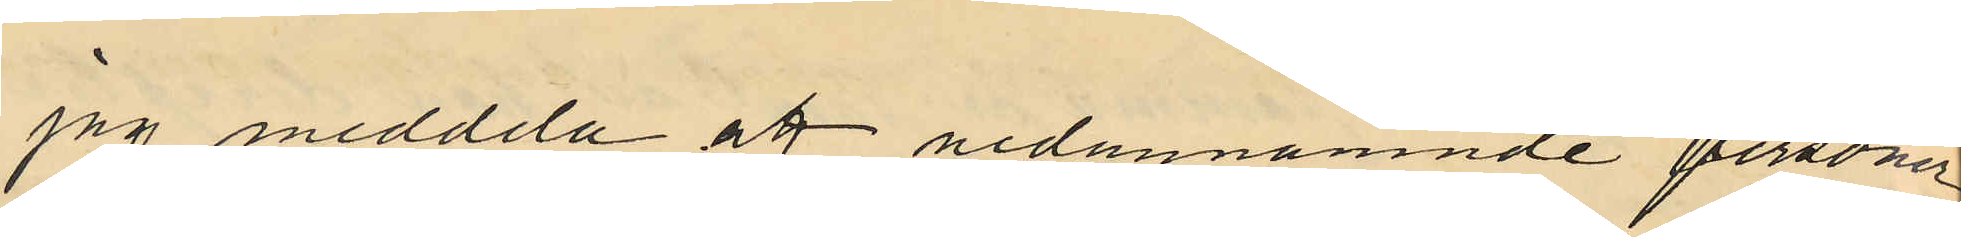jag meddela att nedannämnde personer
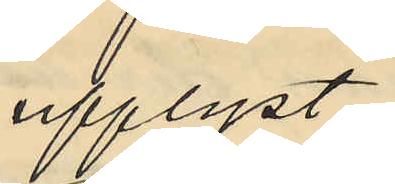upplyst:
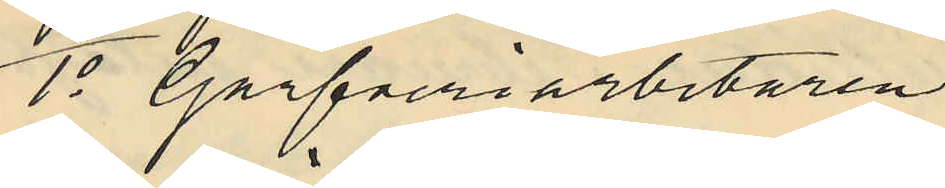1o Garfveriarbetaren
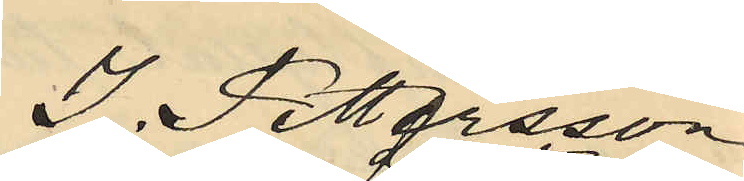J. Pettersson
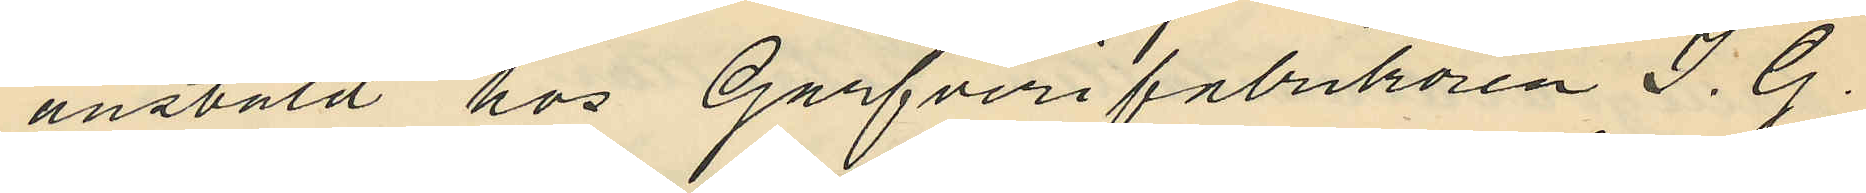anstäld hos Garfverifabrikören J. G.
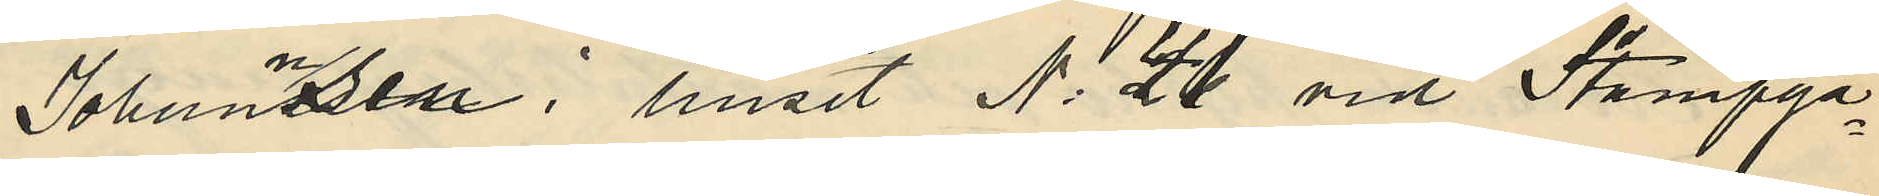Johannsen i huset No 41 vid Stampga¬
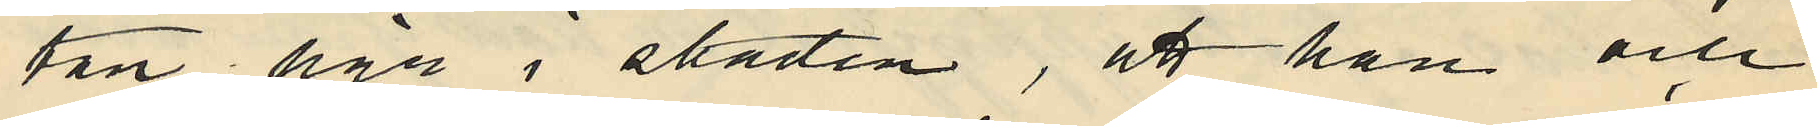tan här i staden, att han och
